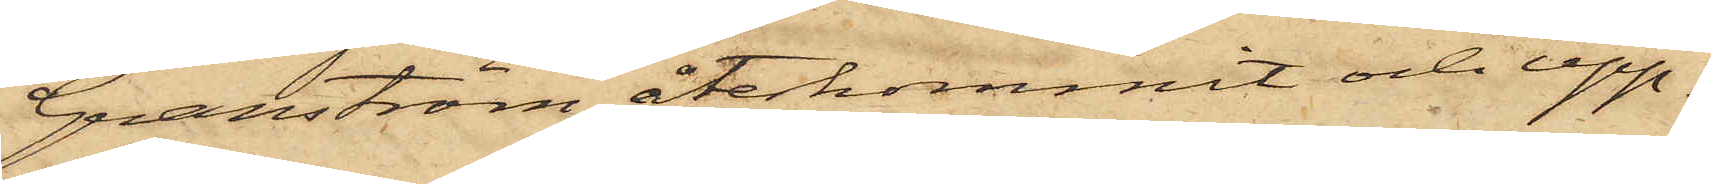Granström återkommit och upp¬
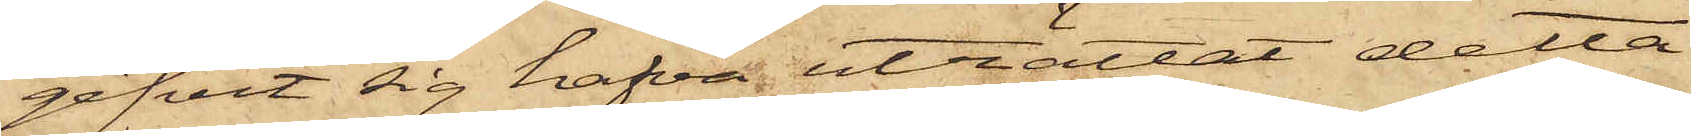gifvit sig hafva uträttat detta
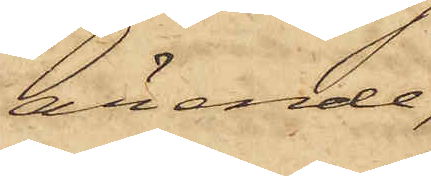ärende,
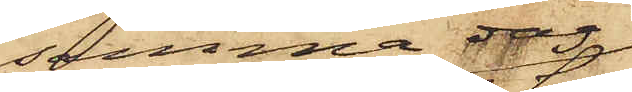samma dag 
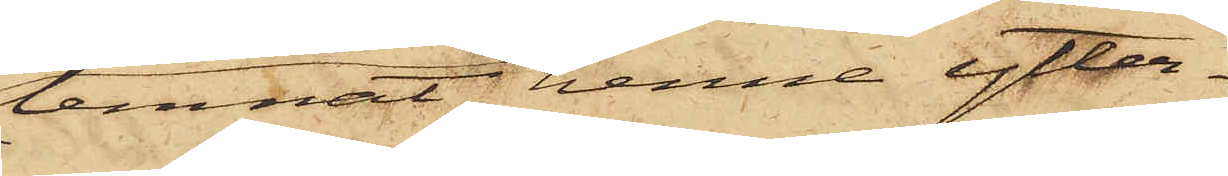lemnat henne ytter¬
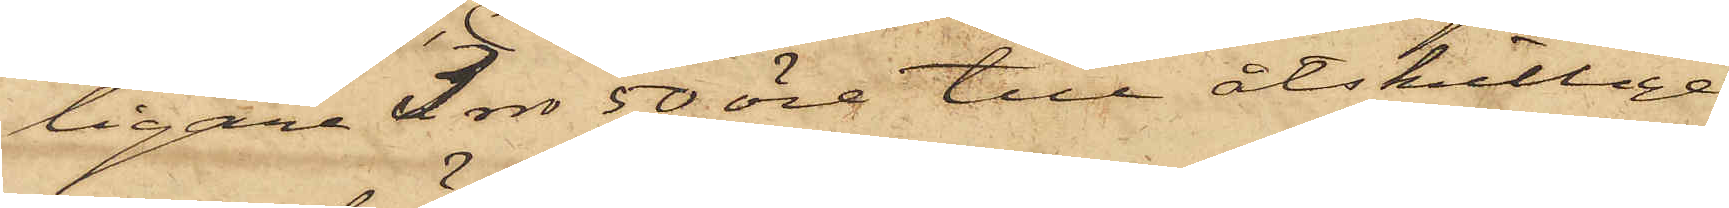ligare 3 rdr 50 öre till åtskillige
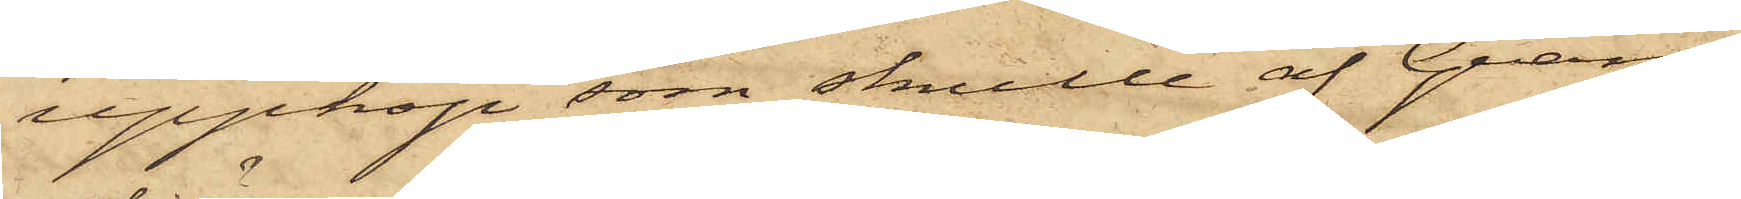uppköp, som skulle af Gran¬
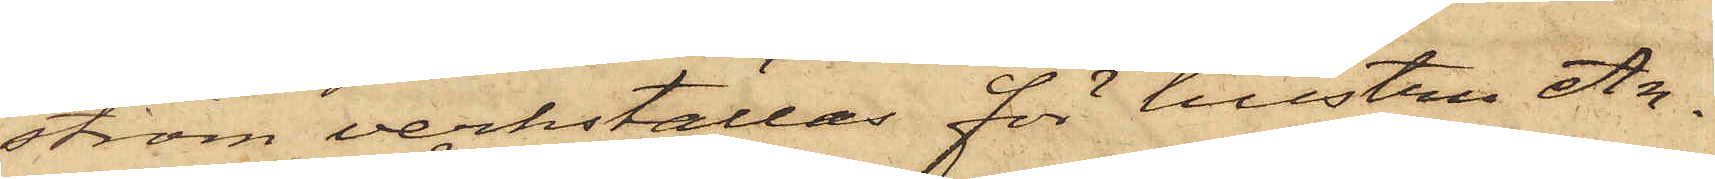ström verkställas för hustru An¬
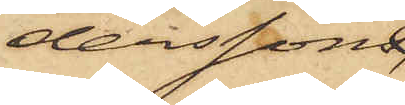derssons
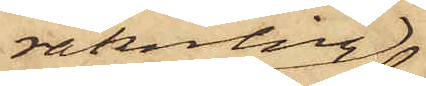räkning,
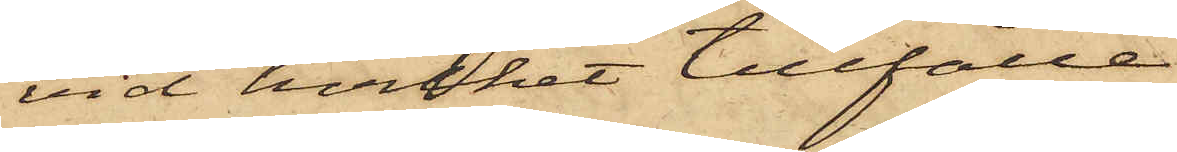vid hvilket tillfälle
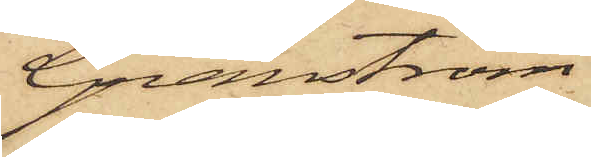Granström
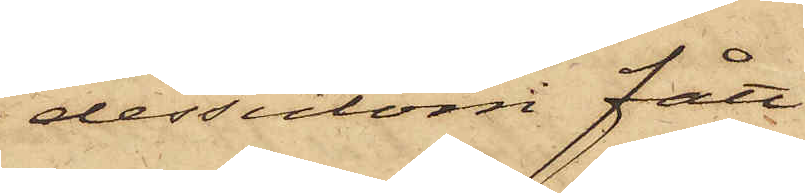dessutom fått
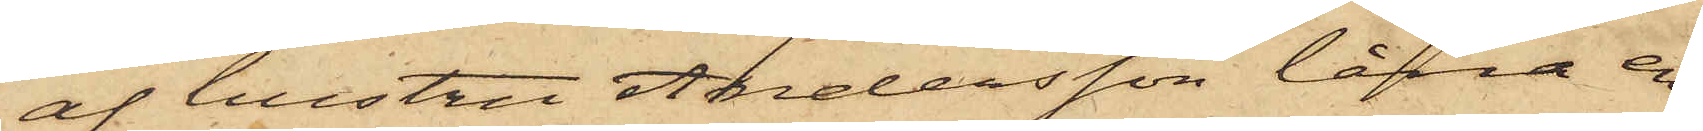af hustru Andersson låna en
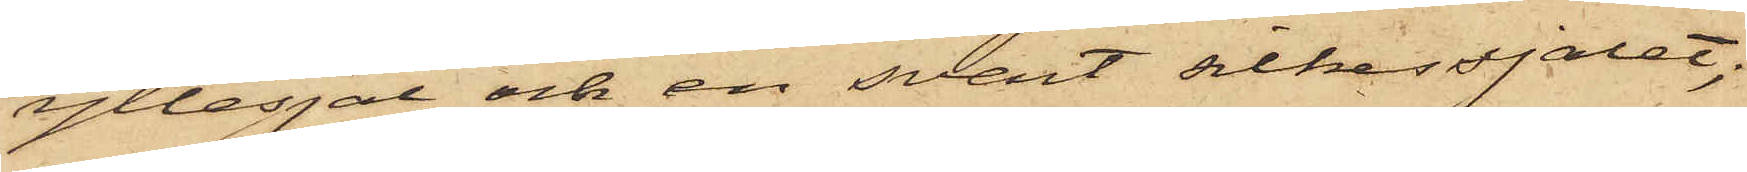yllesjal och en svart silkessjalet;
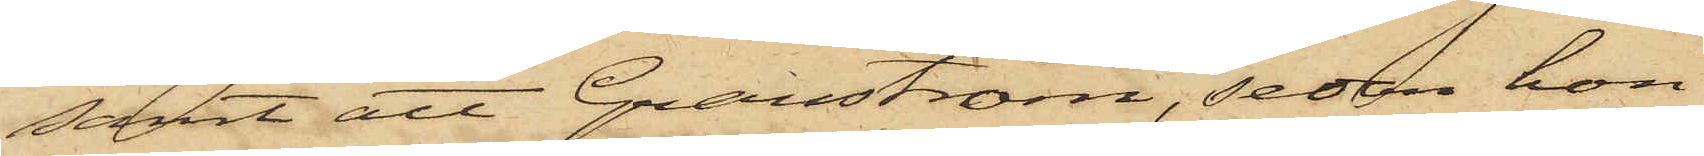samt att Granström, sedan hon
